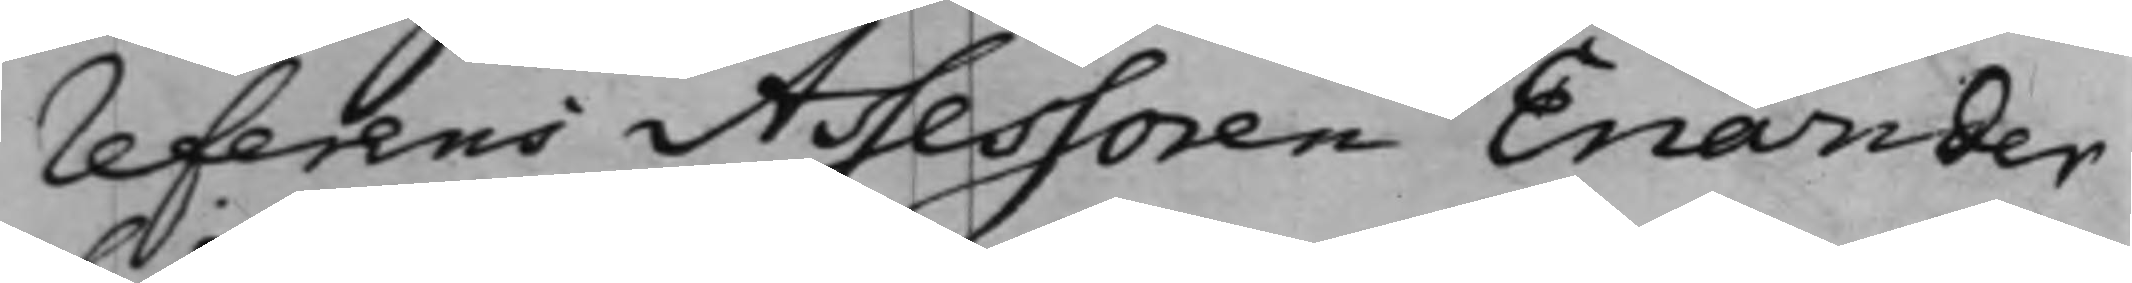referens Assessoren Enander
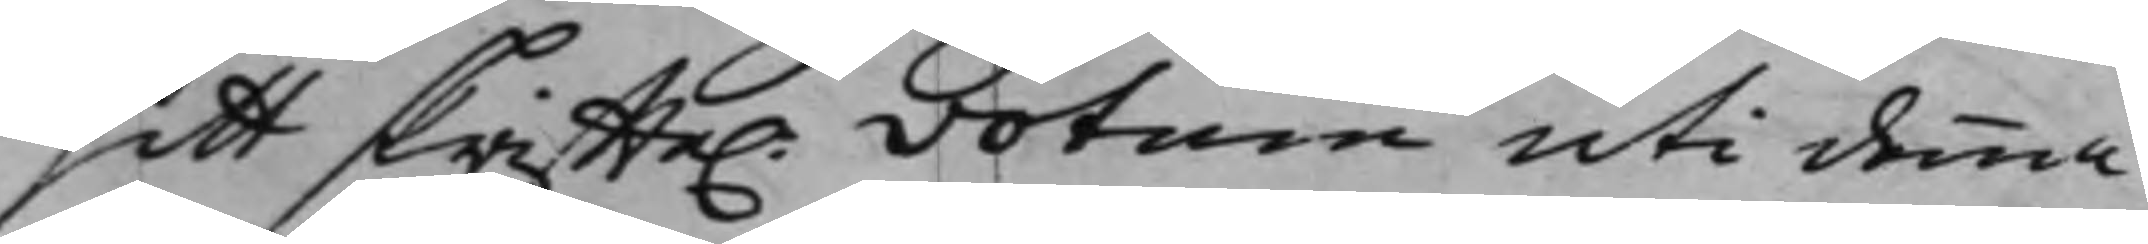sitt skriffte. votum uti denna
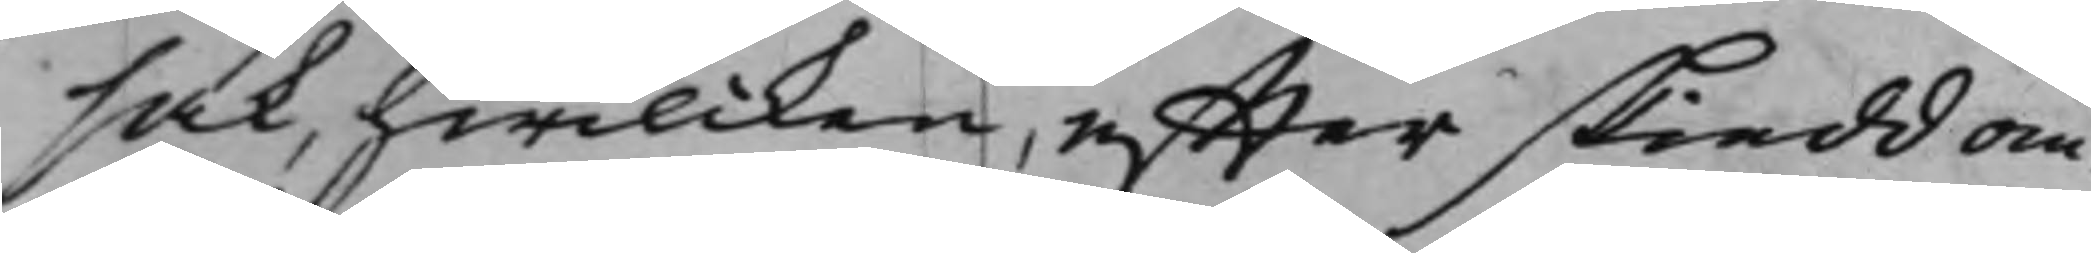sak, hwilcken, effter skiedd om¬
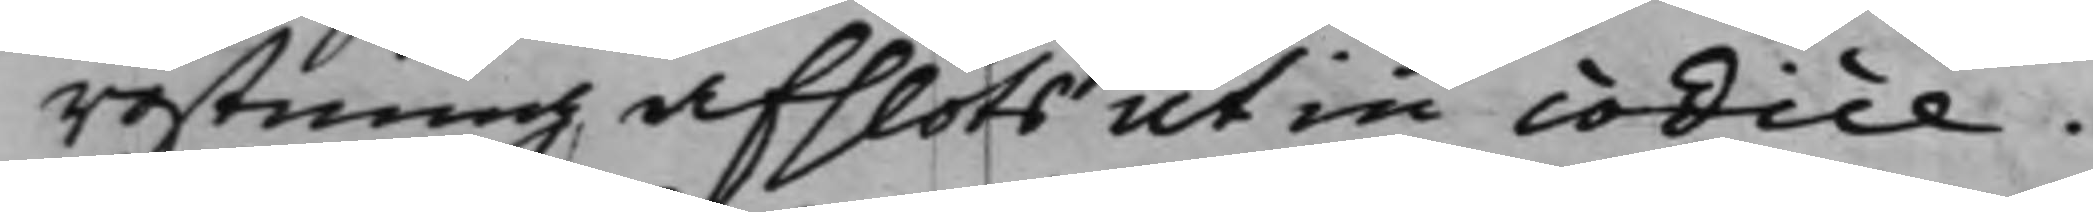röstning afslöts ut in codice.
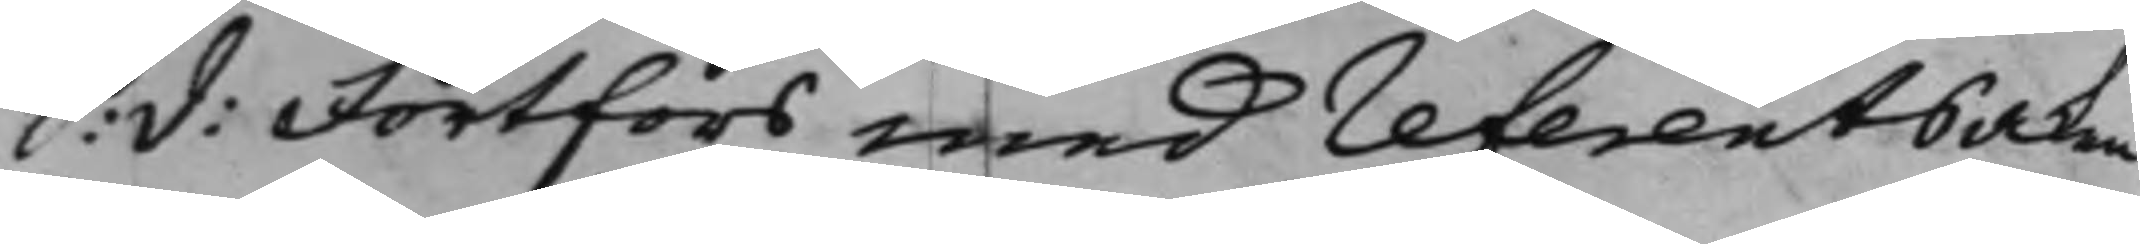S: d: Fortfors med referentsaken
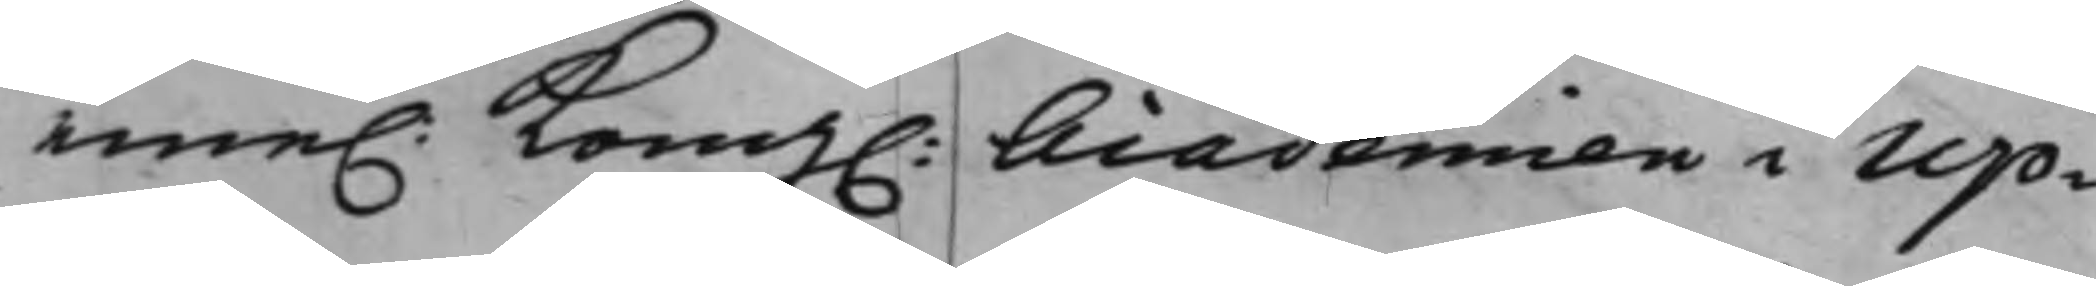eme. Kong. Academien i Up¬
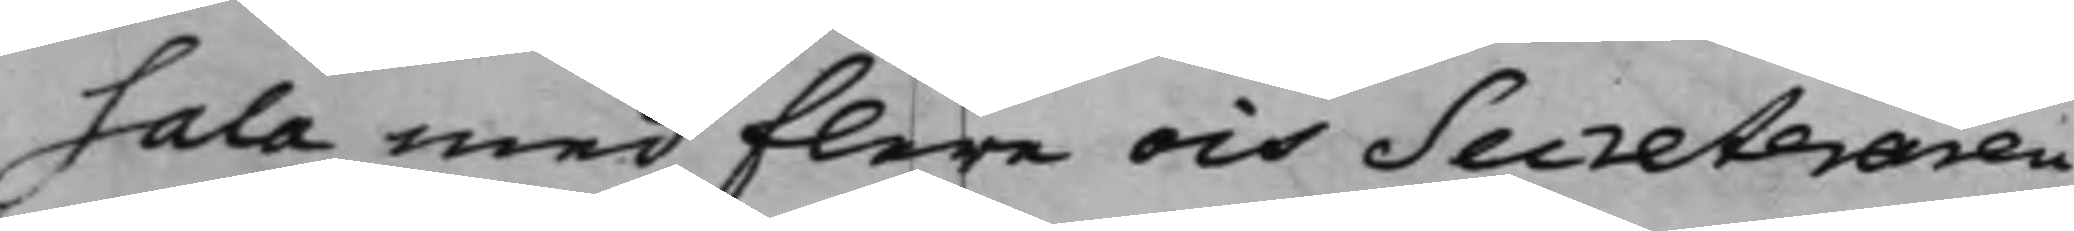sala med flere och Secreteraren
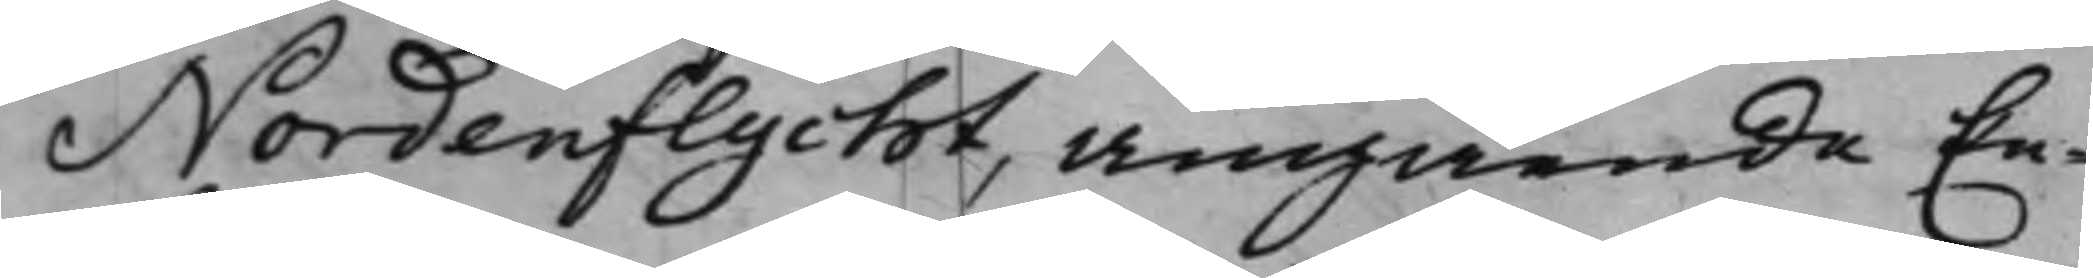Nordenflycht, angående En¬
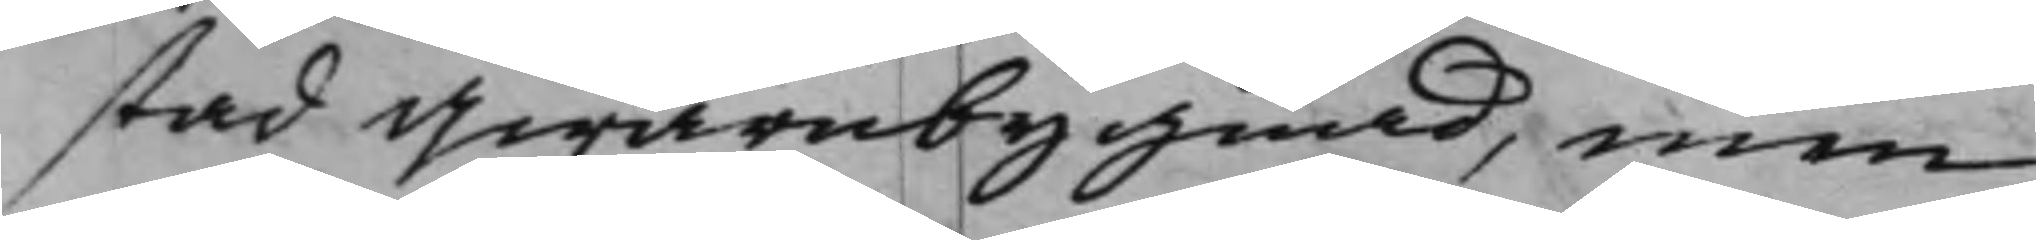stad Qwarnbygnad, men
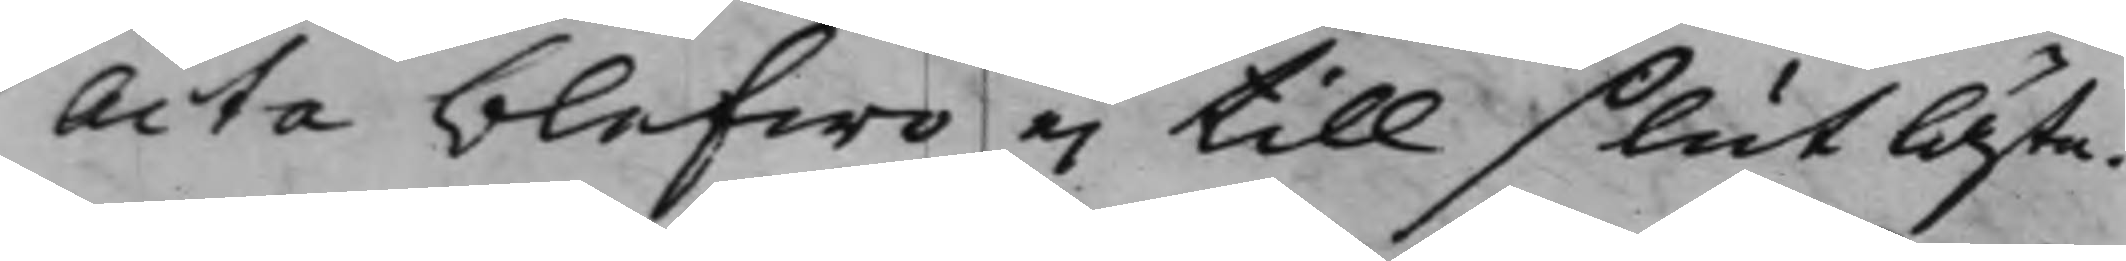Acta blefwo ei till slut läste.
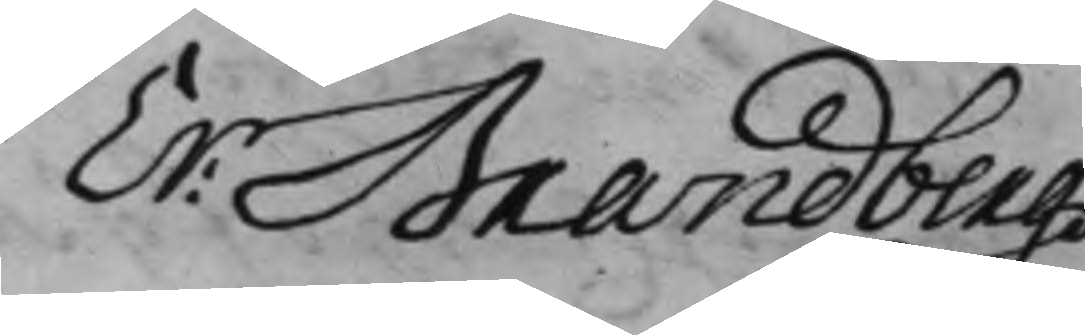Er: Brandberg
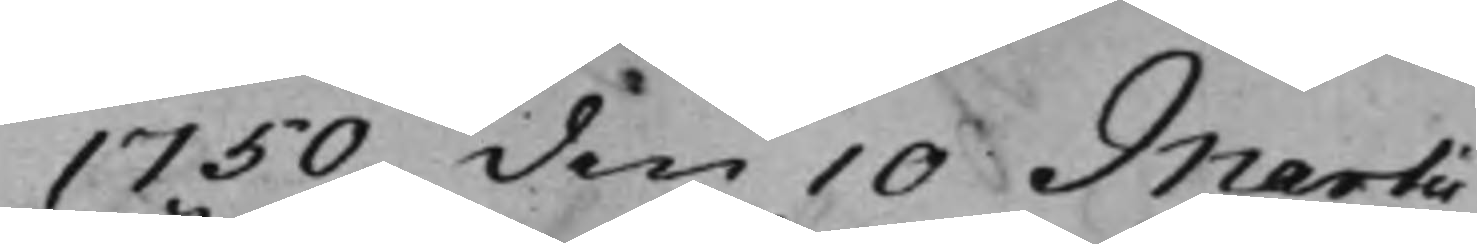1750 den 10 Martii
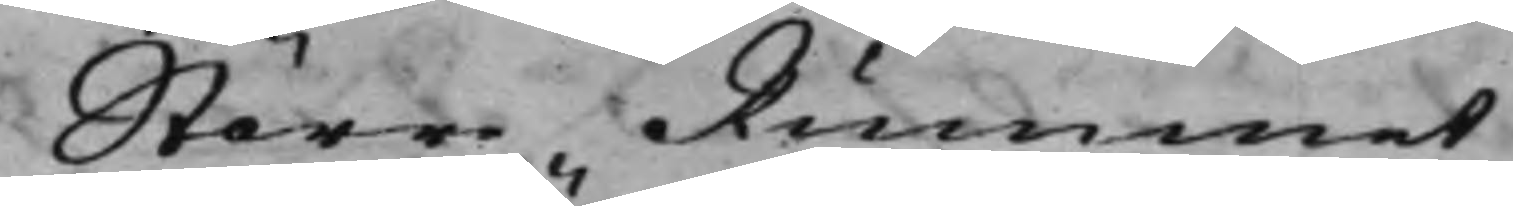Större Rummet
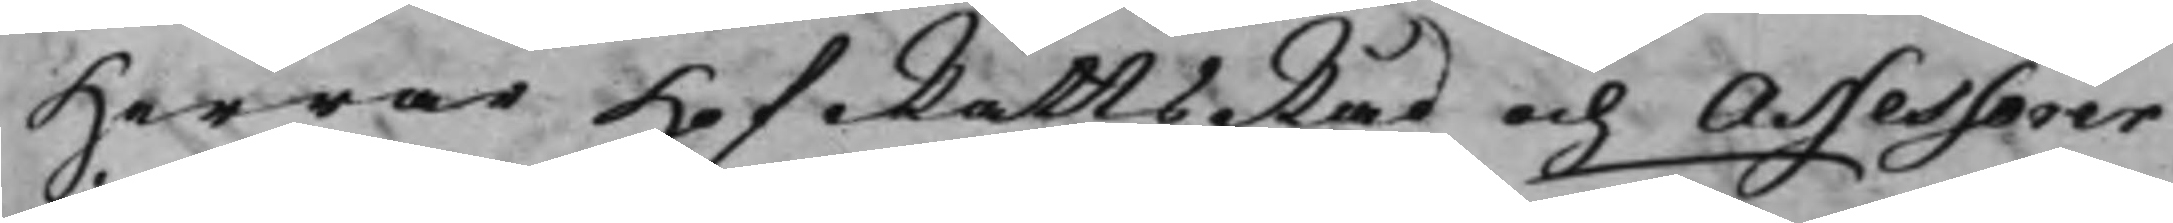Herrar HofRättsRåd och Assessorer
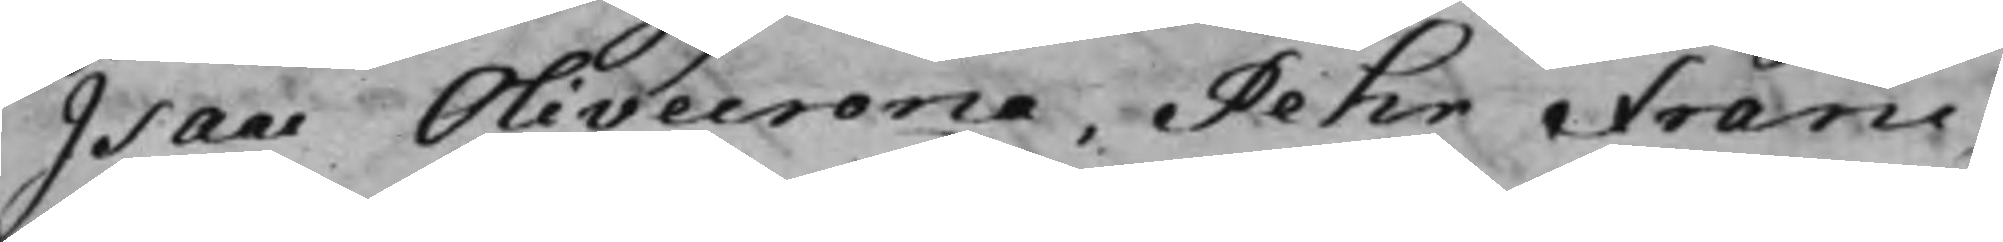Isaac Olivecrona, Pehr Franc
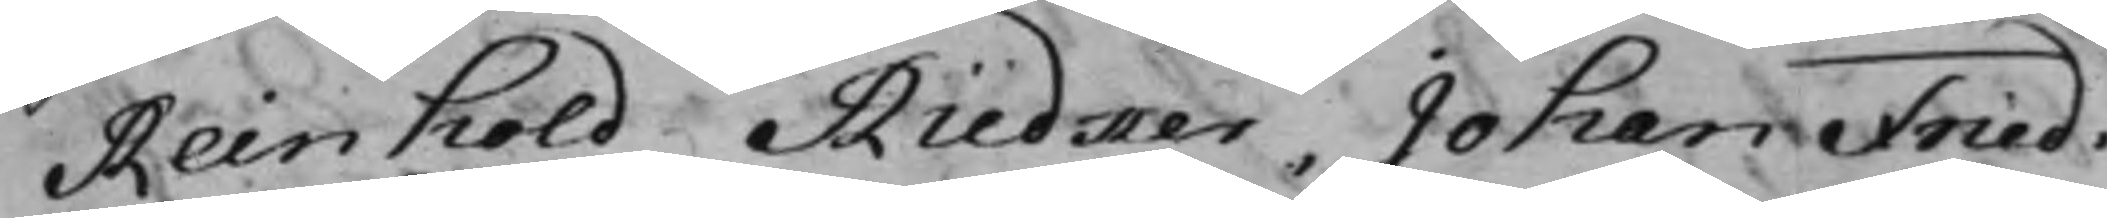Reinhold Rüdker, Johan Fried.
